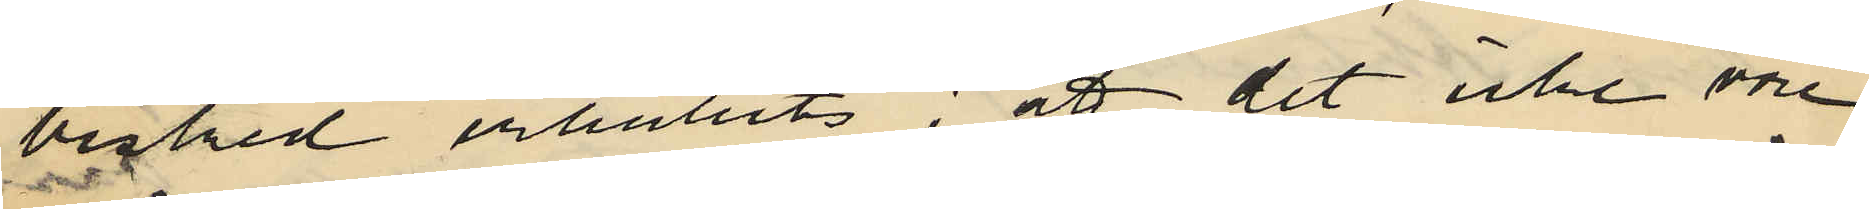besked erhållits; att det icke vore
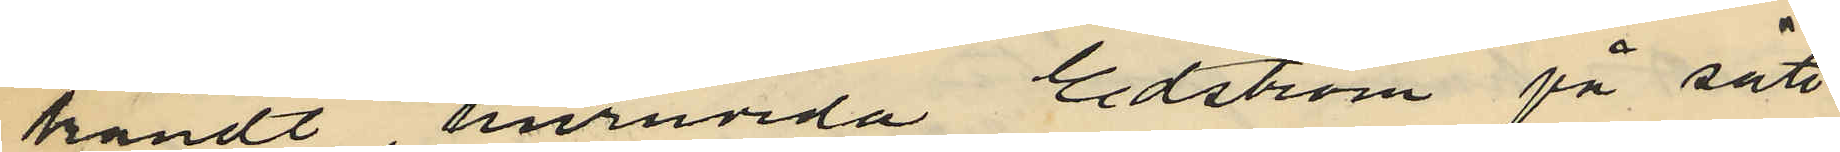kändt, huruvida Edström på sätt
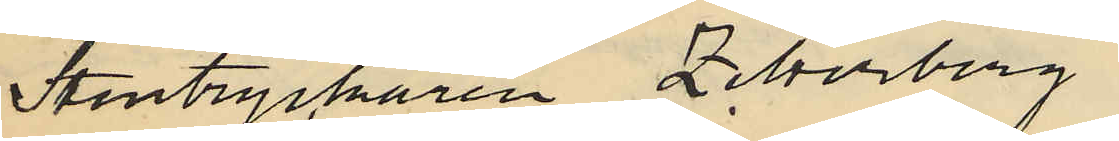Stentryckaren Zetterberg
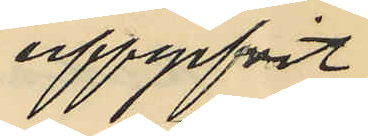uppgifvit
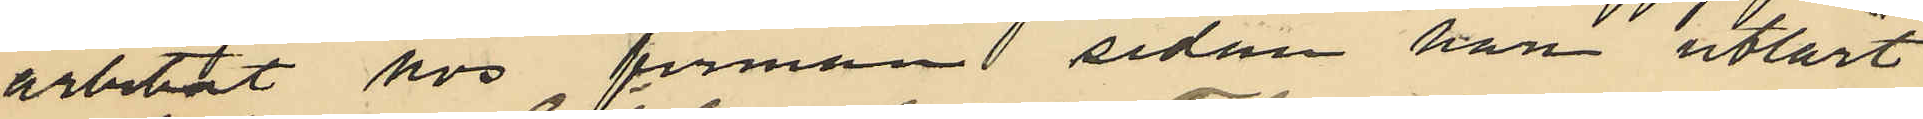arbetat hos firman sedan han utlärt
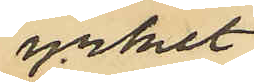yrket
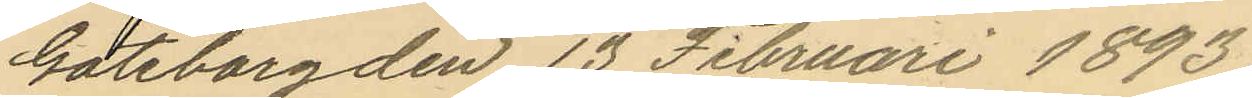Göteborg den 13 Februari 1893.
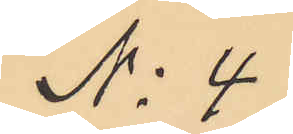No 4.
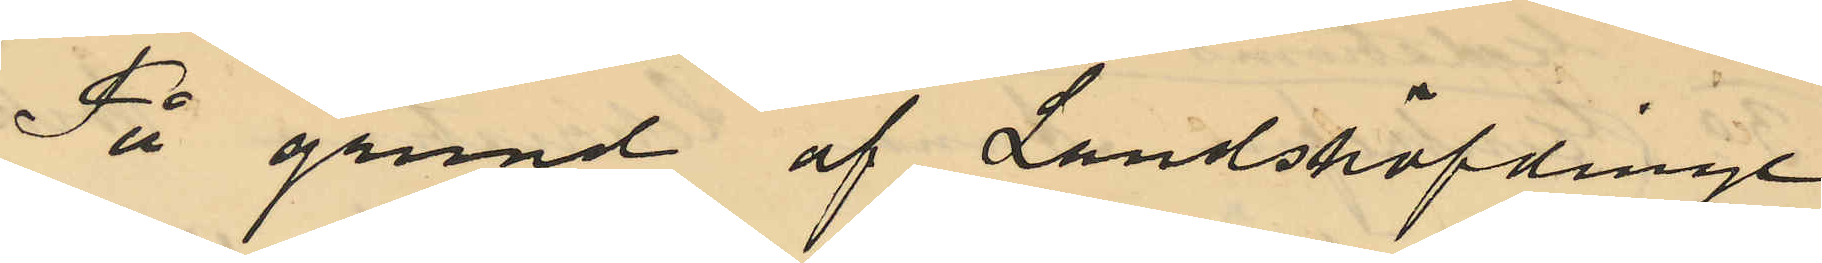På grund af Landshöfdinge
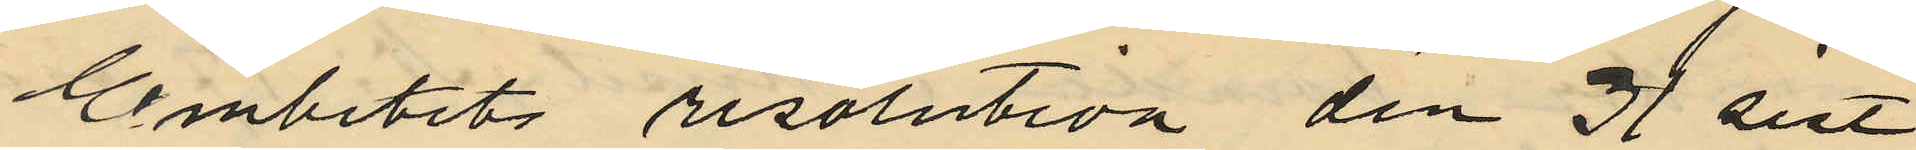Embetets resolution den 31 sist
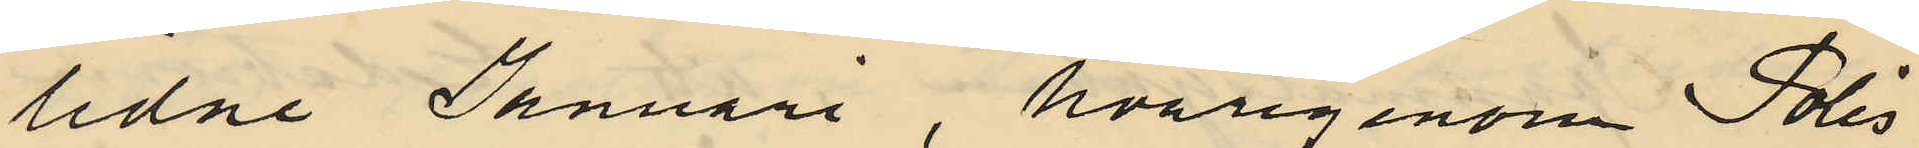lidne Januari, hvarigenom Polis
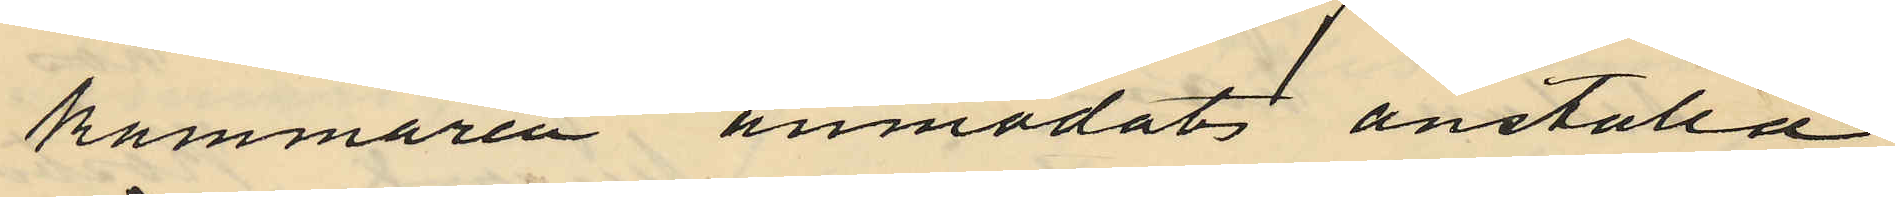kammaren anmodat anställa
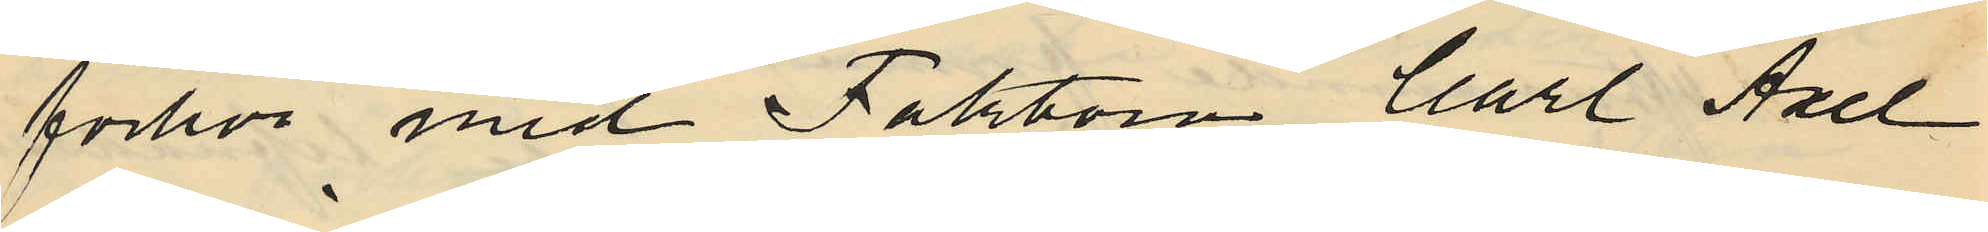förhör med Faktorn Carl Axel
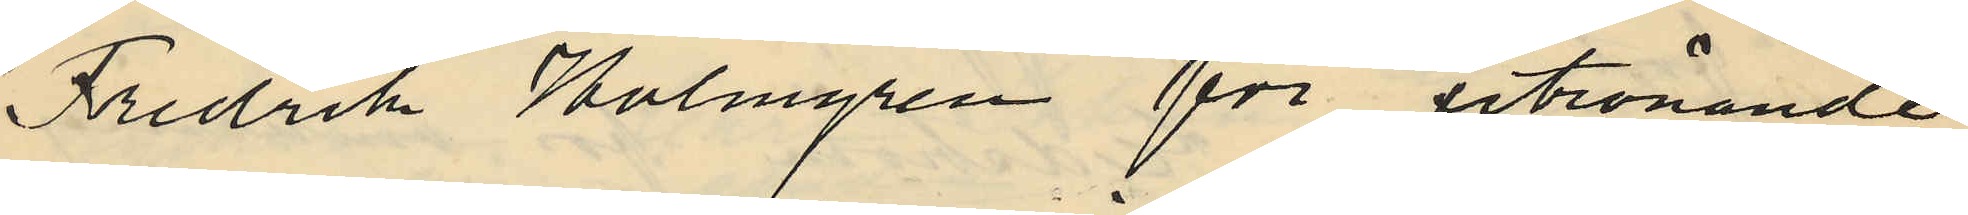Fredrik Holmgren för utrönande
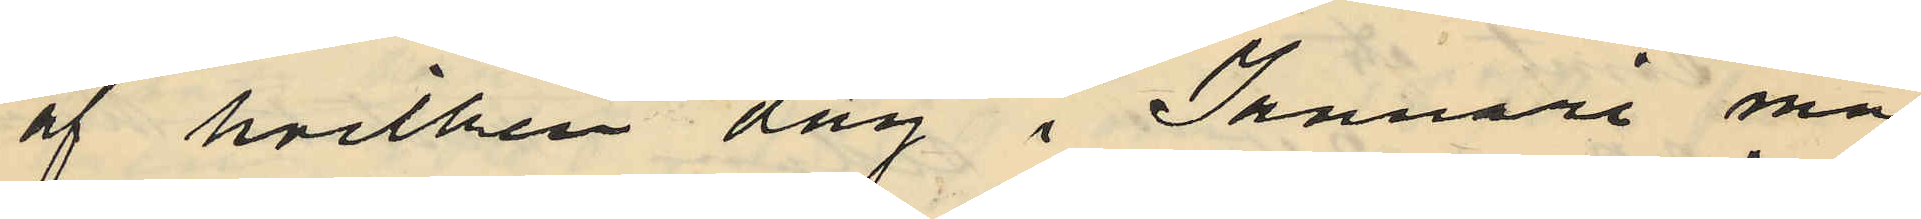af hvilken dag i Januari må¬
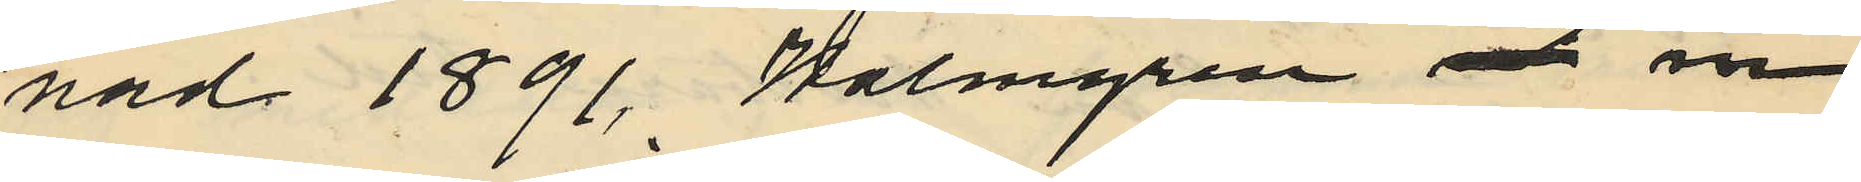nad 1891 Holmgren och in¬
